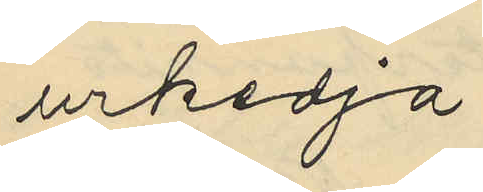urkedja
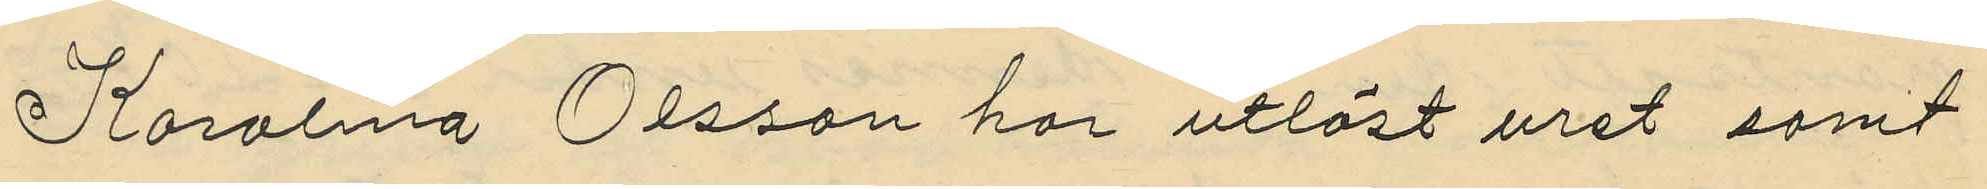Karolina Olsson har utlöst uret samt
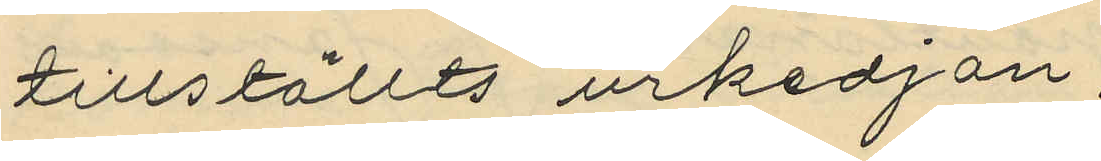tillställts urkedjan:
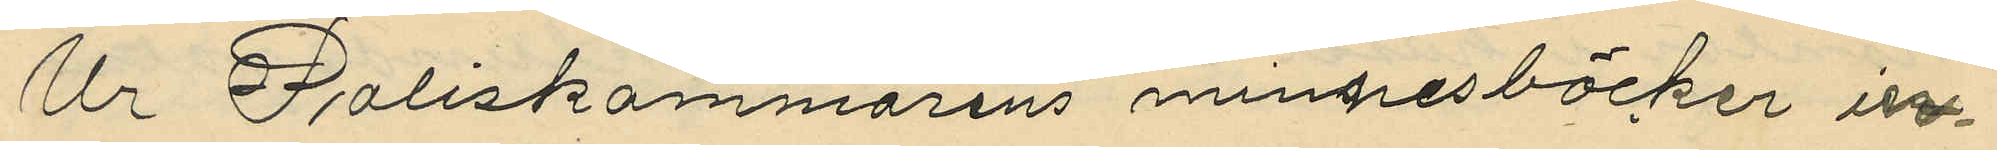Ur Poliskammarens minnesböcker in¬
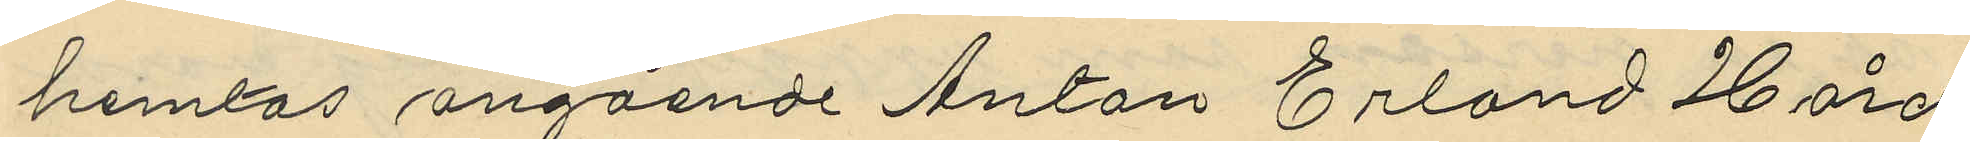hemtas angående Anton Erland Hård
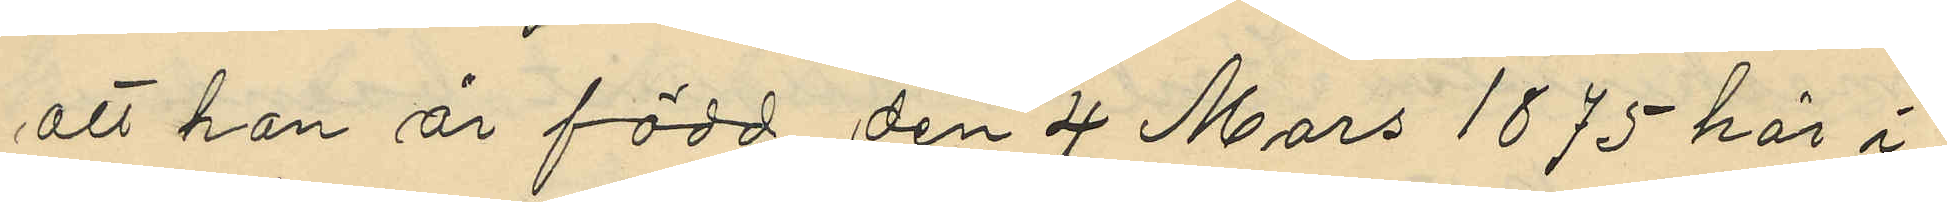att han är född den 4 Mars 1875 här i
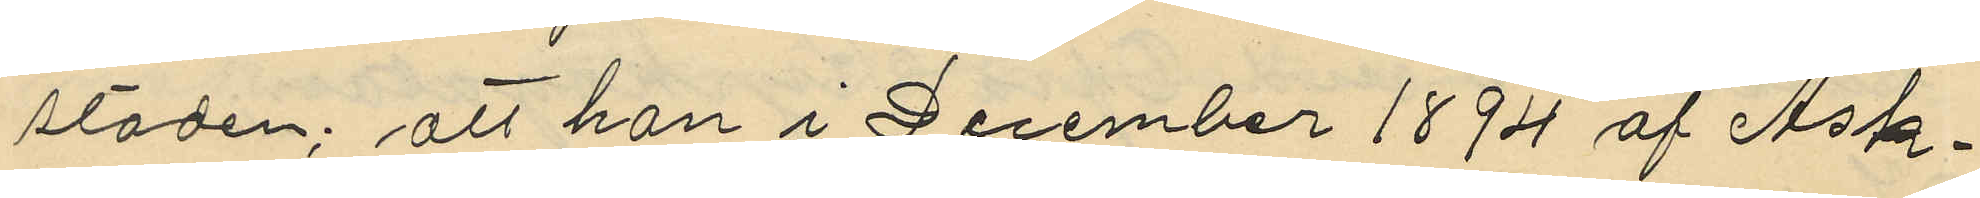staden; att han i December 1894 af Ask¬
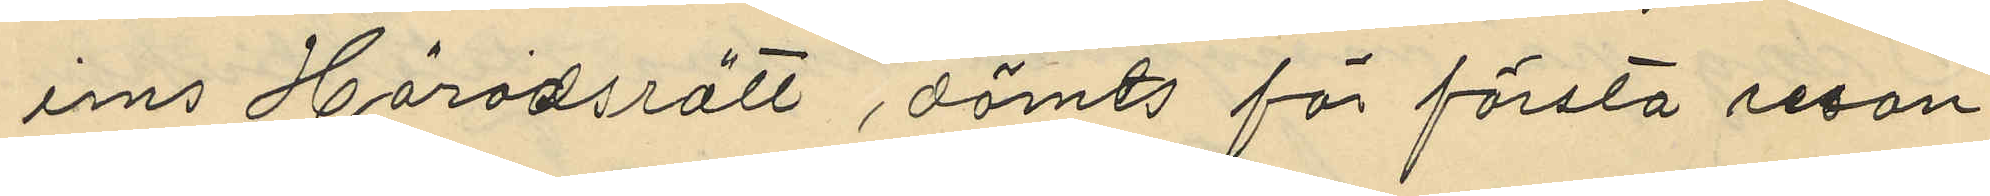ims Häradsrätt dömts för första resan
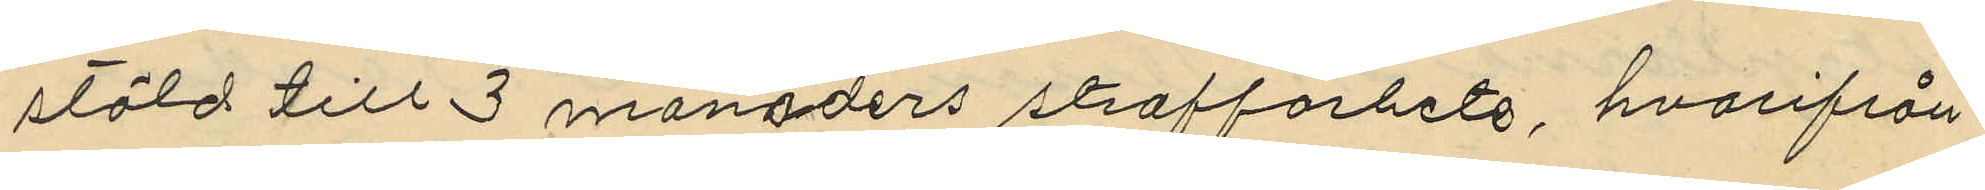stöld till 3 månaders straffarhete, hvarifrån
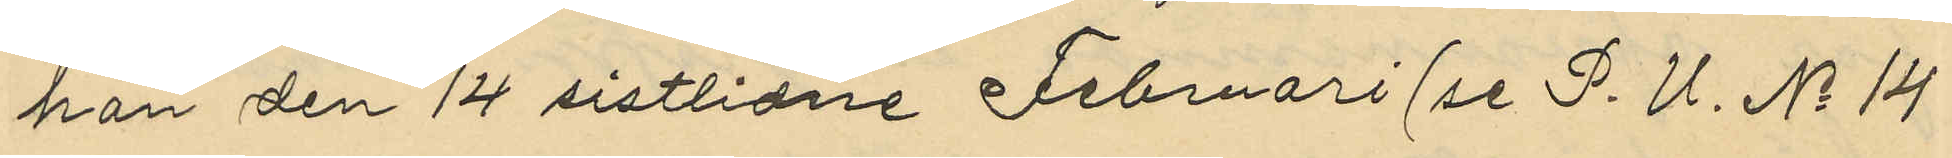han den 14 sistlidne Februari (se P. U. No 14
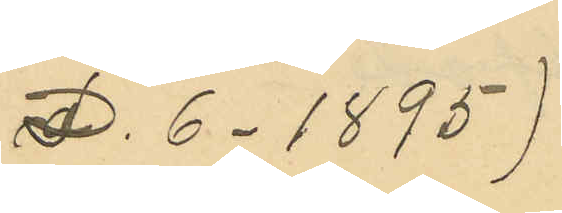D. 6. 1895)
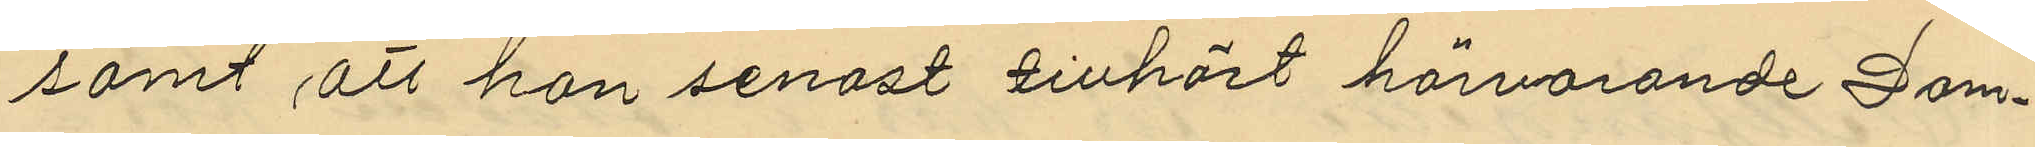samt att han senast tillhört härvarande Dom¬
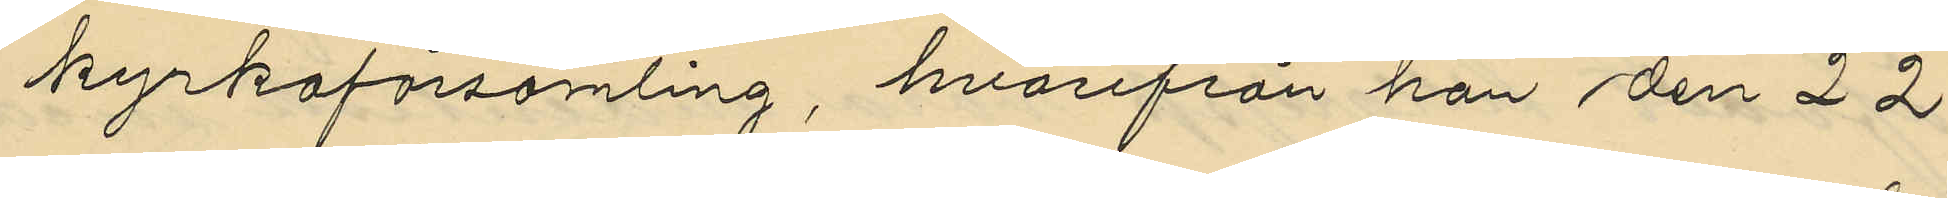kyrkoförsamling, hvarifrån han den 22
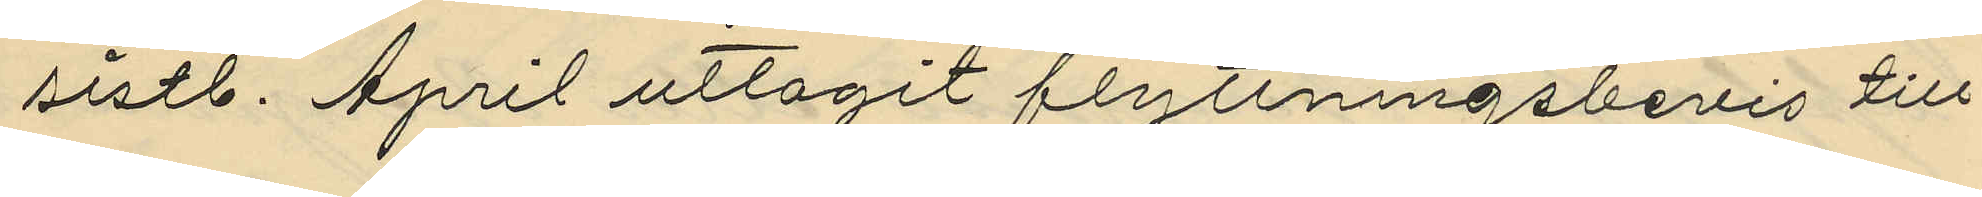sistl. April uttagit flyttningsbevis till
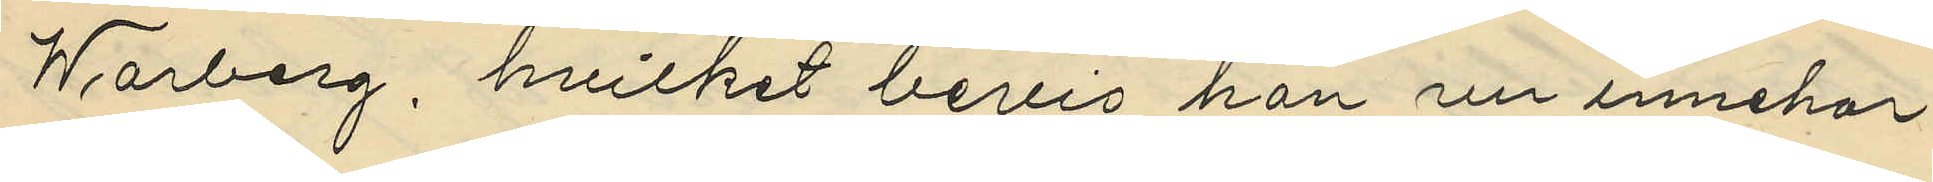Warberg, hvilket bevis han nu innehar.
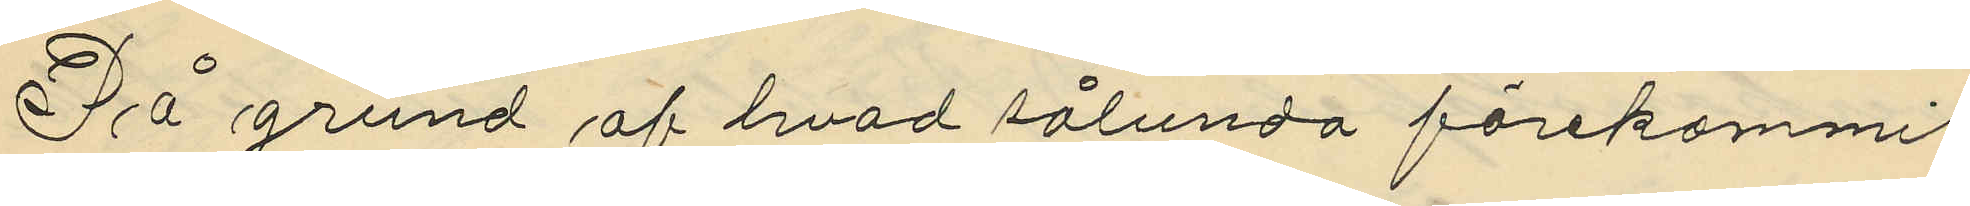På grund af hvad sålunda förekommit
